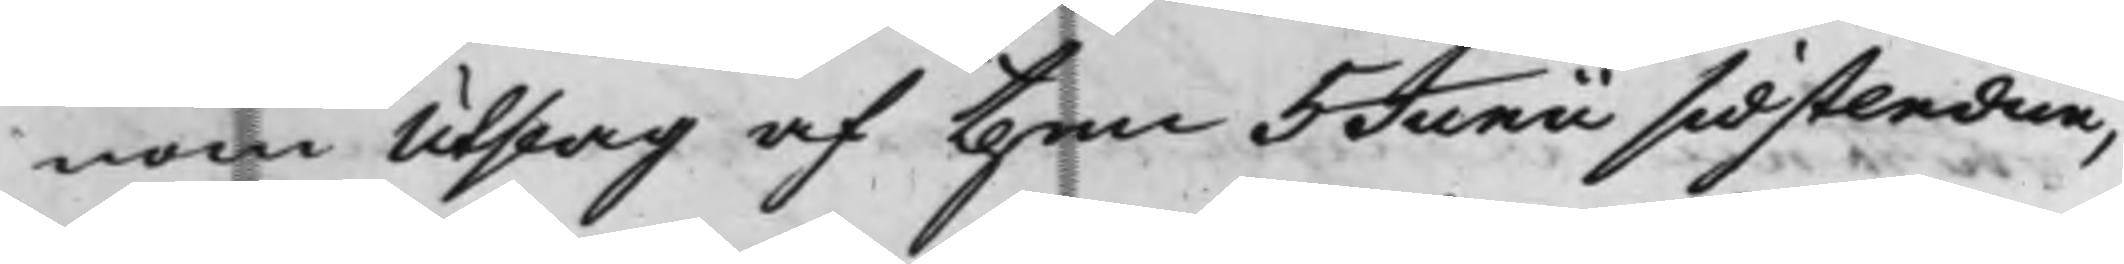nom Utslag af then 5 Junii sidstledne,
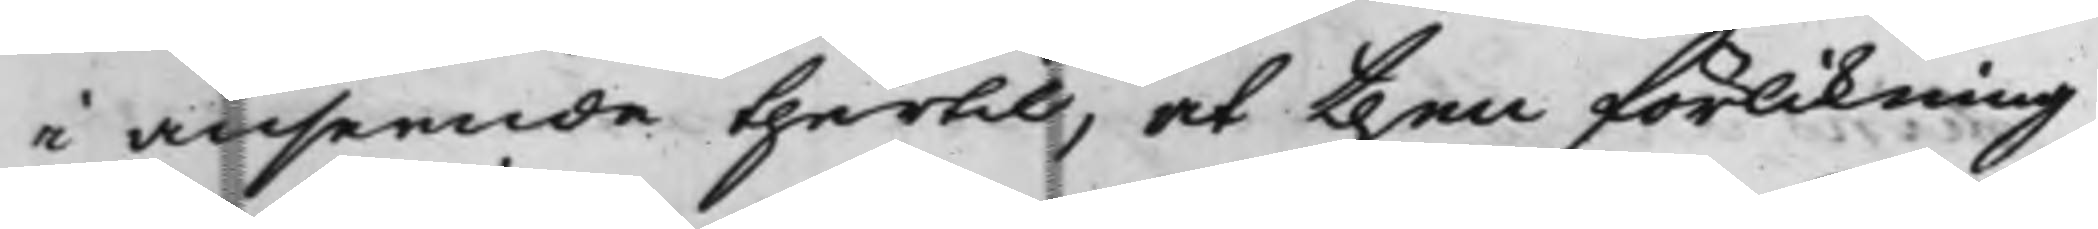i anseende thertill, at then förlikning
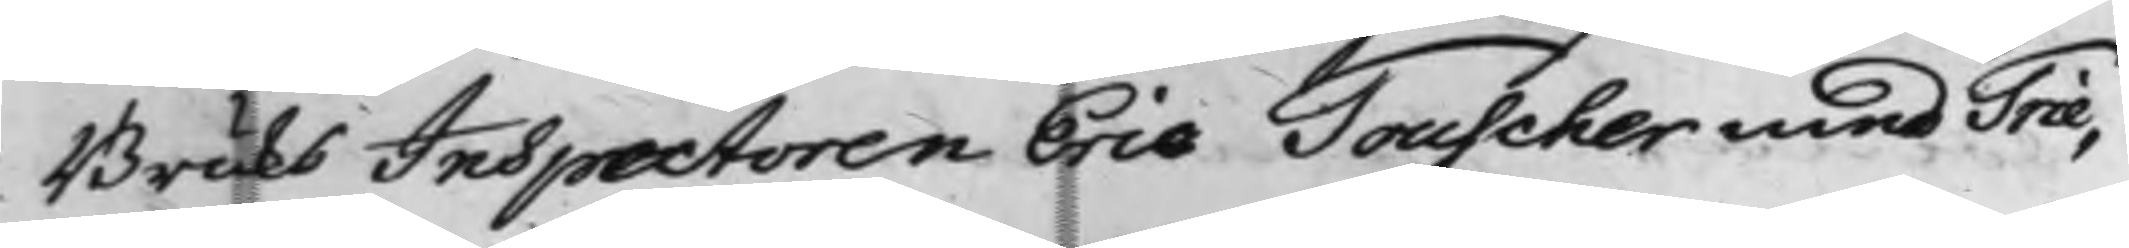Bruks Inspectoren Eric Touscher med Trie¬
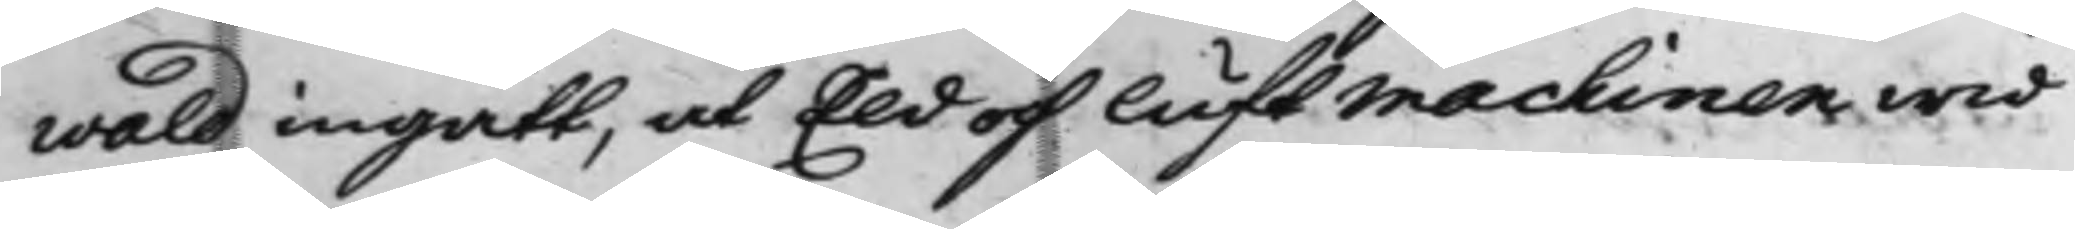wald ingått, at Eld och luftmachinen wid
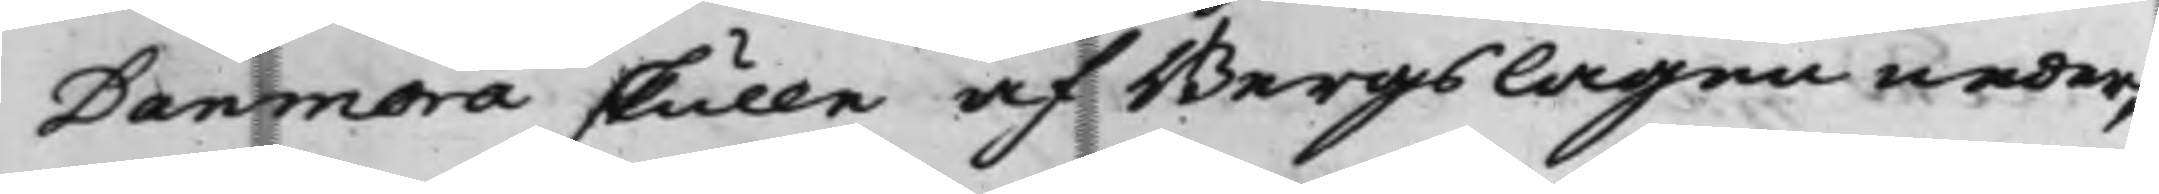Danmora skulle af Bergslagen neder¬
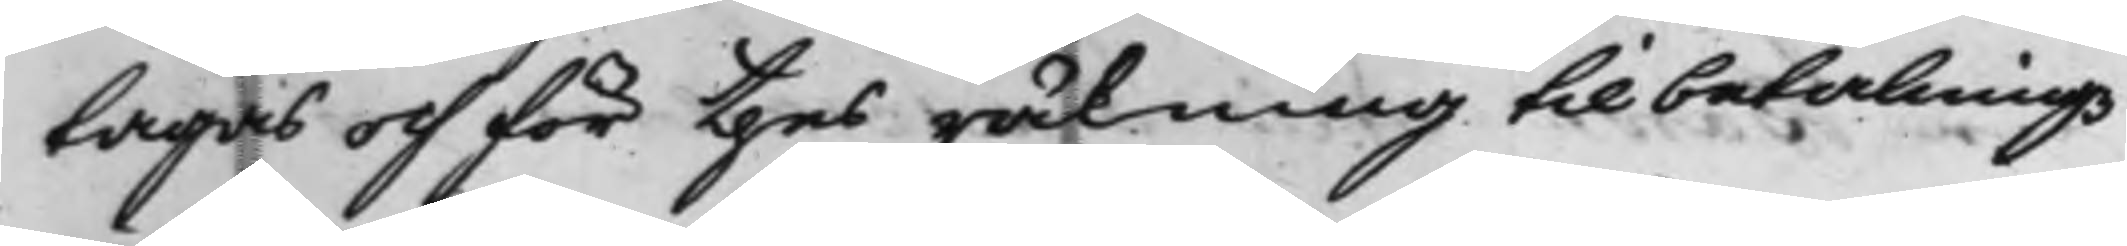tagas och för thes räkning till betalningz
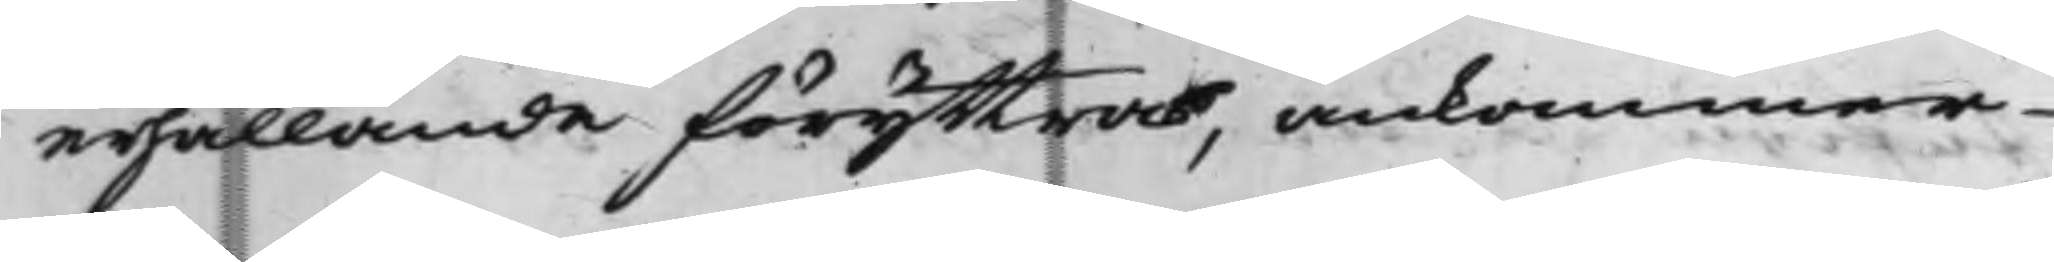erhållande föryttras, ankommer
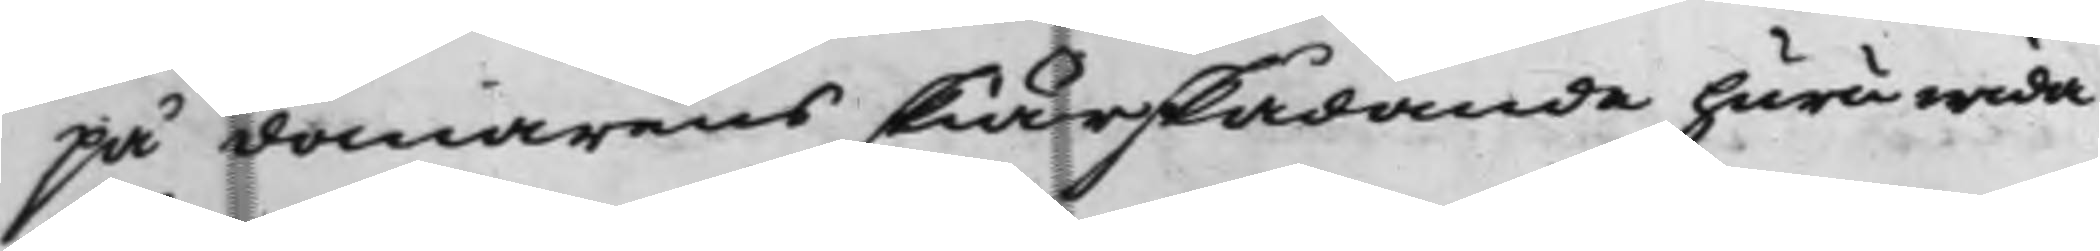på domarens skiärskådande huruwida
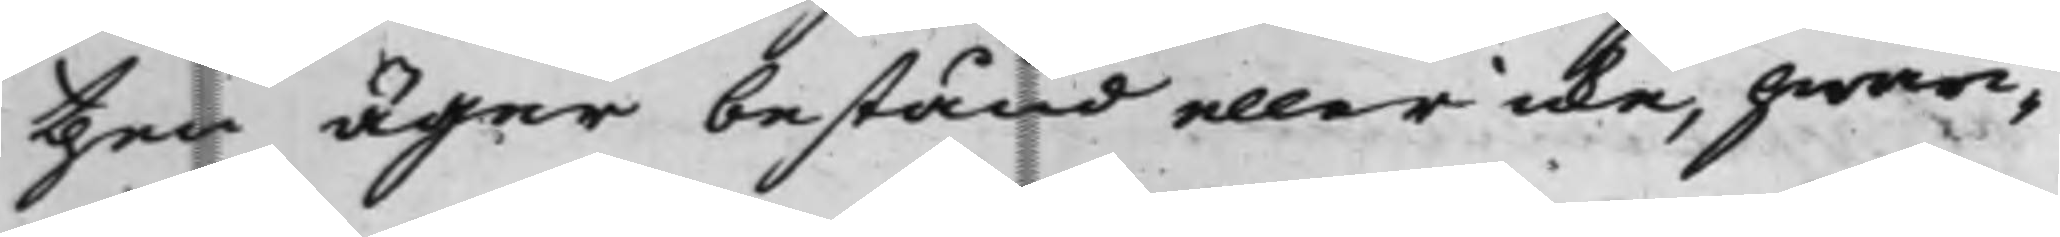then äger bestånd eller icke, hwari¬
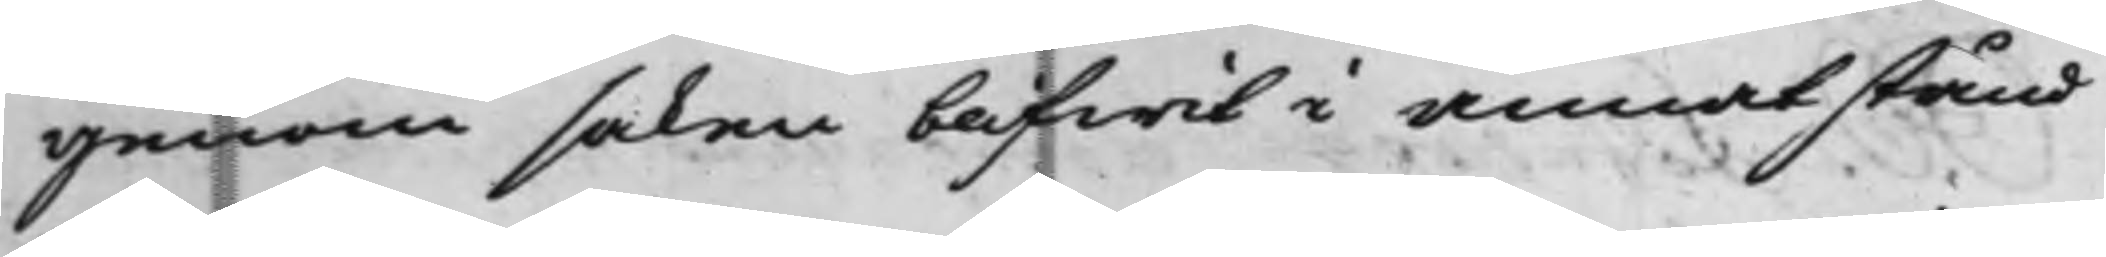genom saken blifwit i annat stånd
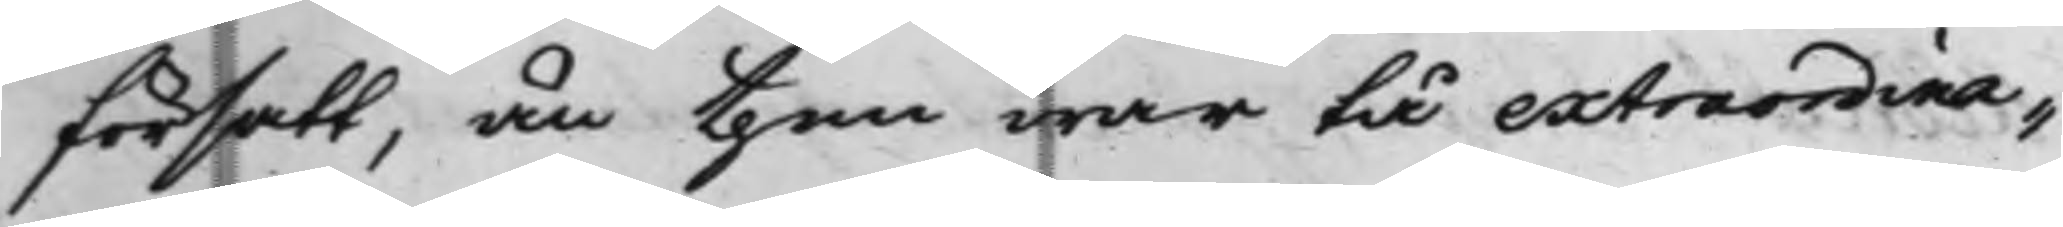försatt, än then war tå extraordina¬
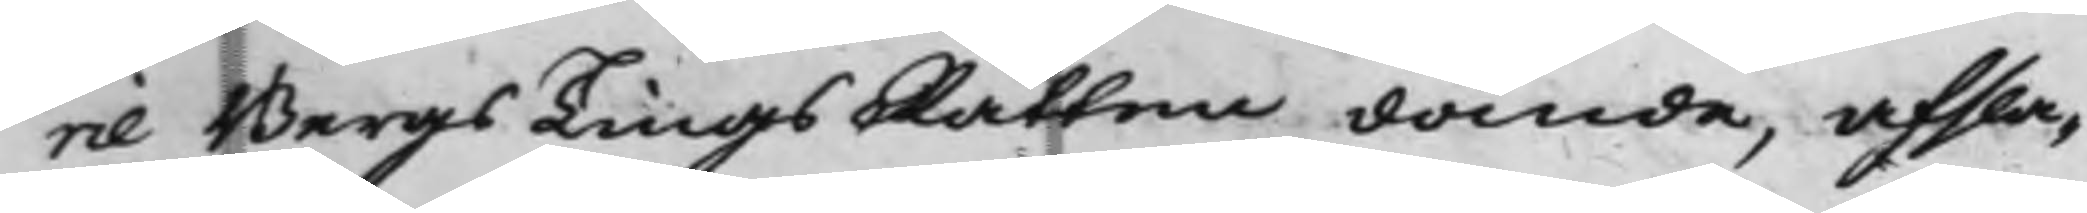rie BergsTingsRätten dömde, afsla¬
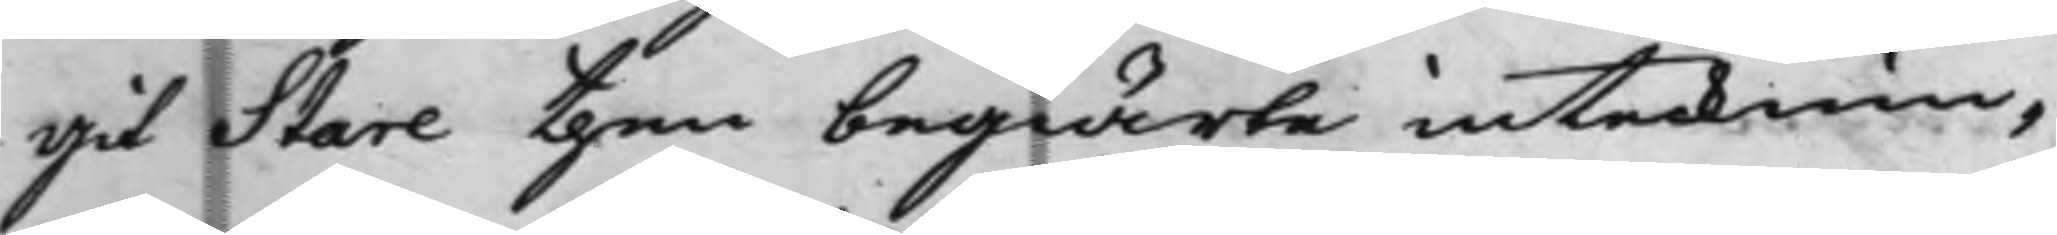git Stare then begiärte intecknin¬
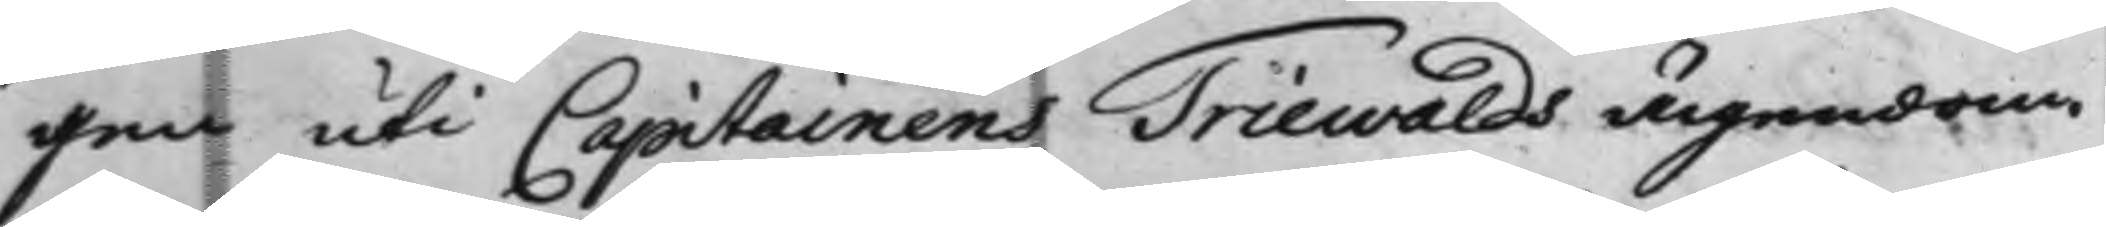gen uti Capitainens Triewalds ägendom
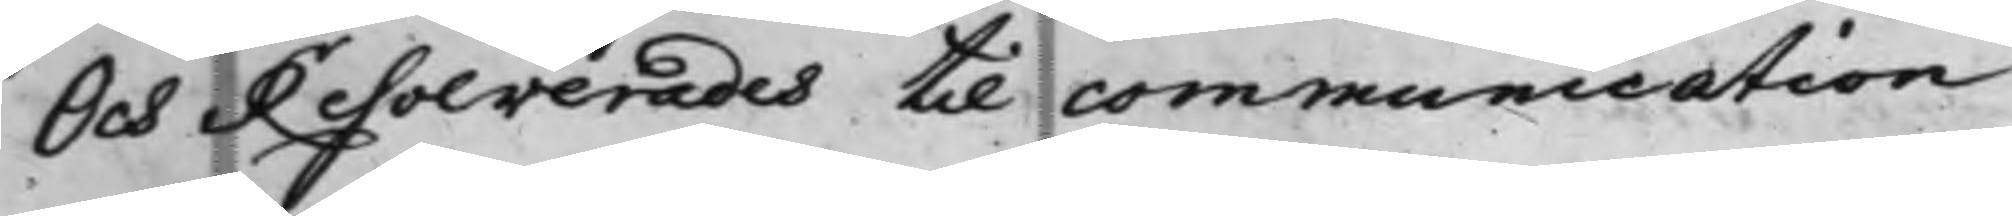Och Resolverades till communication
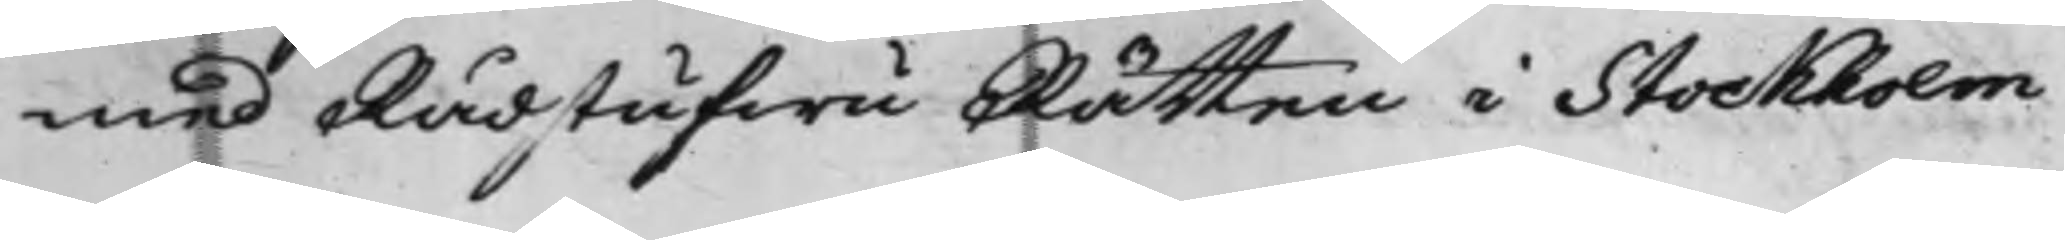med RådstufwuRätten i Stockholm,
